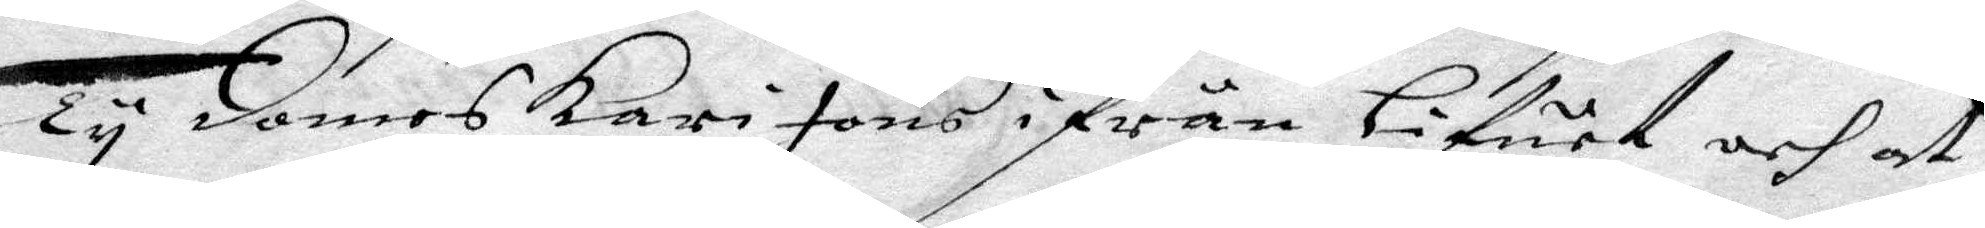Ty domes Karin Jons ifrån Lifuet och at
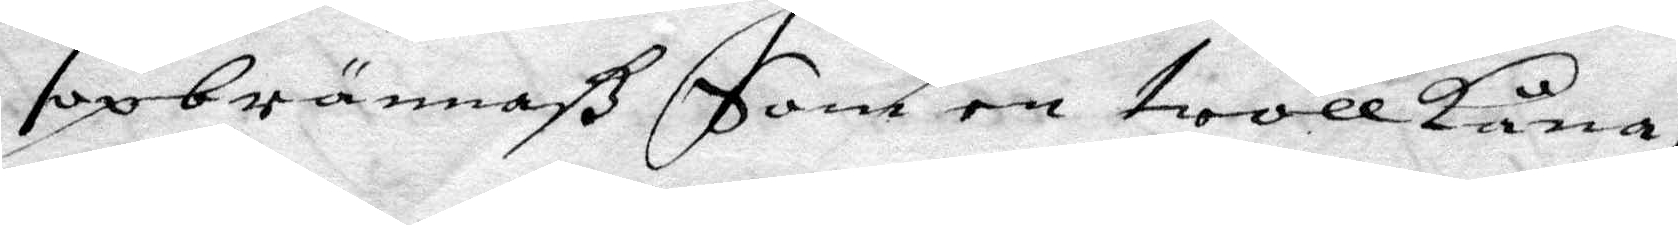opbrännaß Som en trollkona,
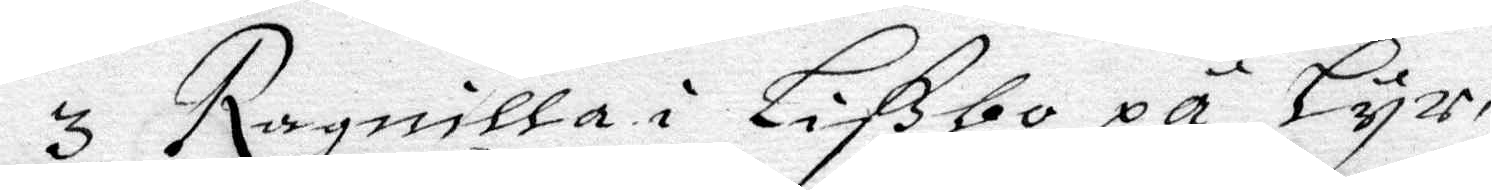3 Ragnilla i Lißbo på Lyr,
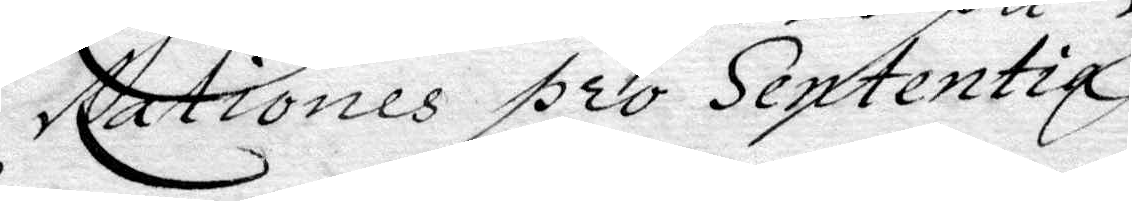Nationes pro Sententia
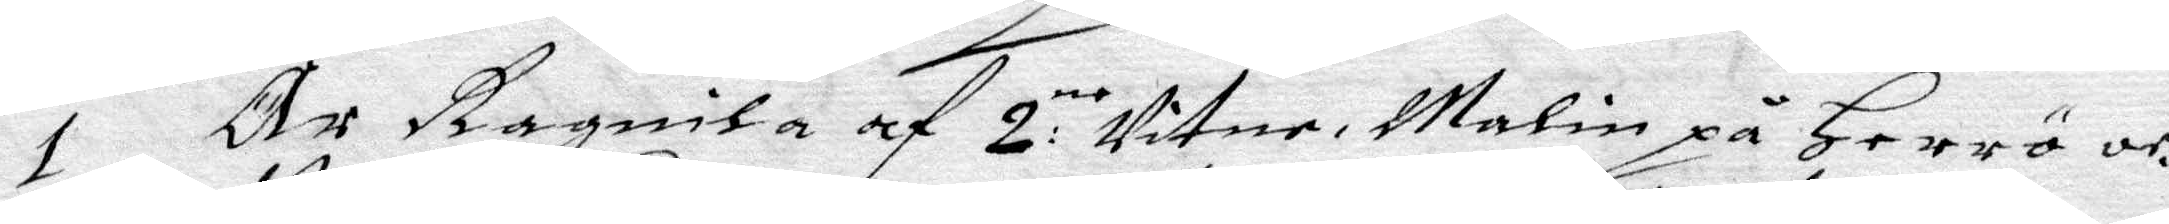1 Är Ragnila af 2:ne Vitne, Malin på Herrö och
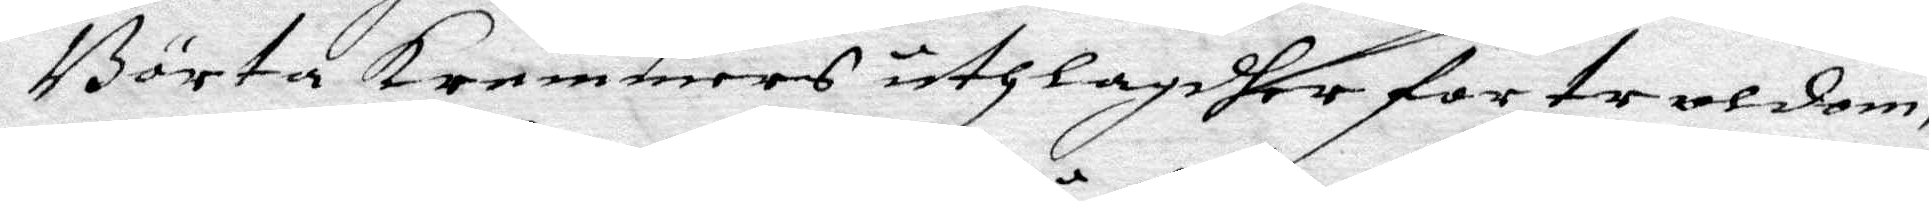Börta krammers uthlagdher for troldom,
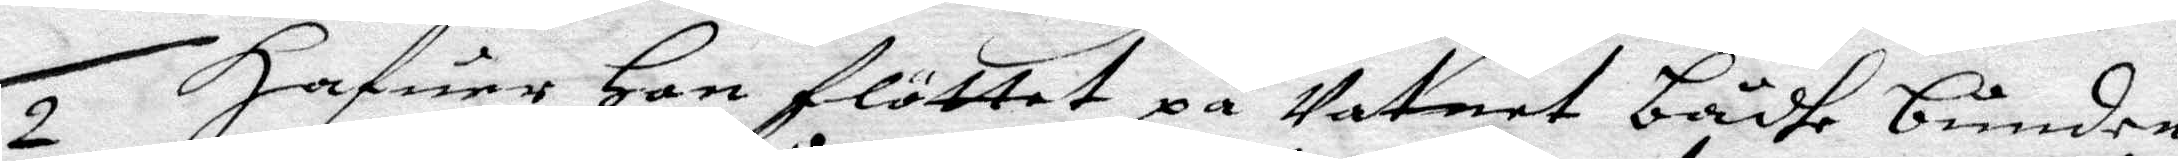2 Hafuer Hon flöttet på Vatnet bådhe bunden
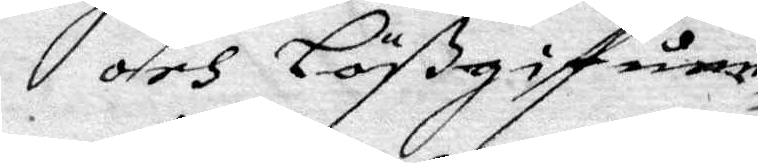och Lößgifuen
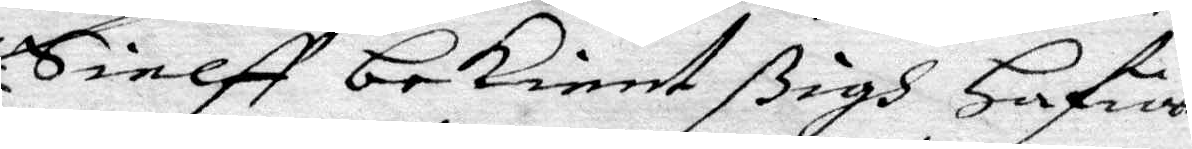Sielff bekient ßigh Hafua
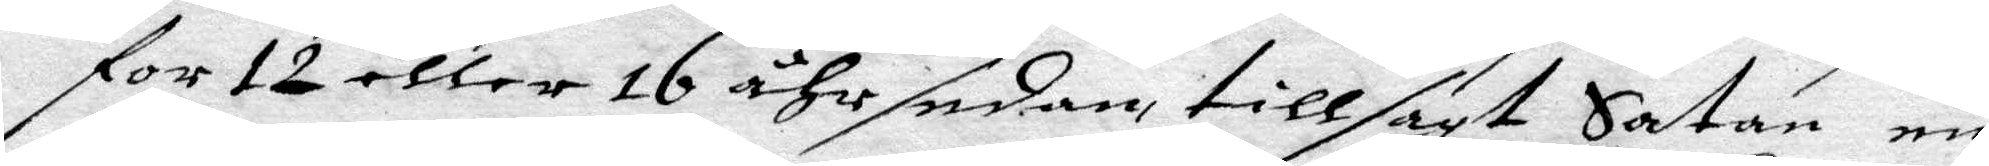för 12 eller 16 åhr sedan tillsagt Satan en
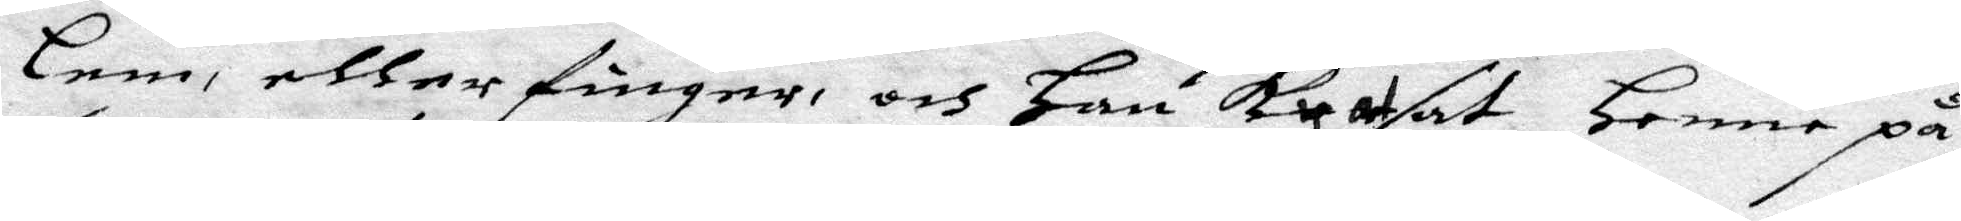lem, eller finger, och Han kratsat Henne på
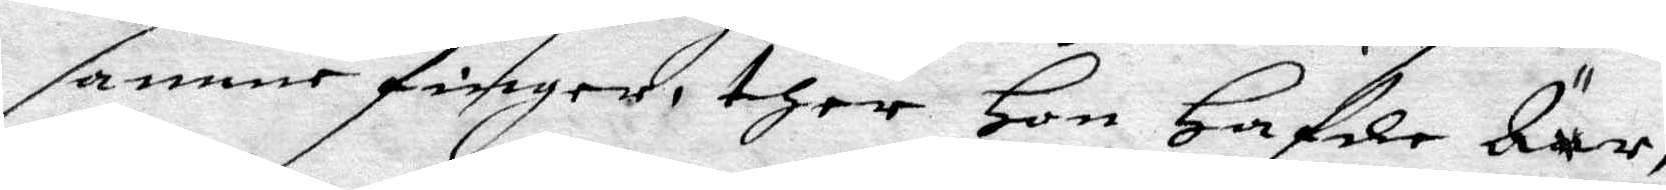samma finger, ther Hon Hafde Ärr,
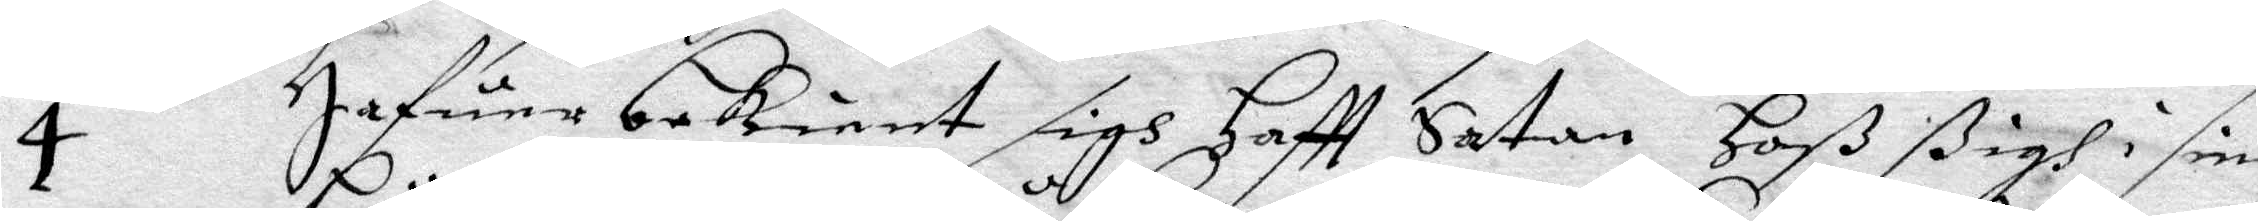4 Hafuer bekient sigh Hafrr Satan Hoß ßifgh i sine
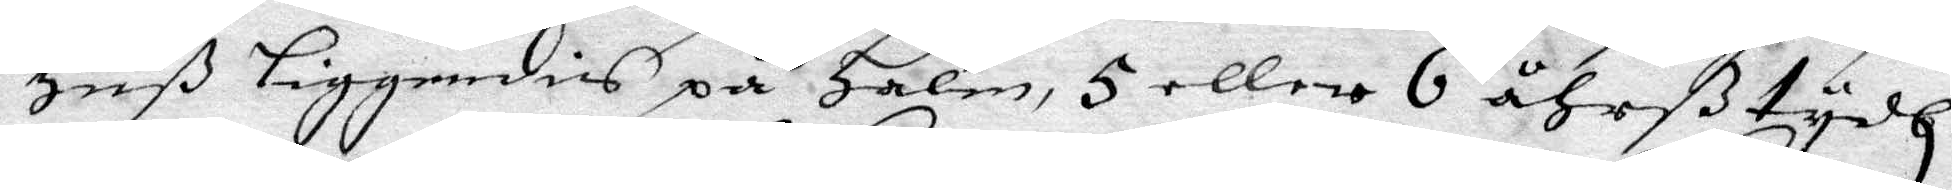Huß liggendies på Halm, 5 eller 6 åhrß tydh,
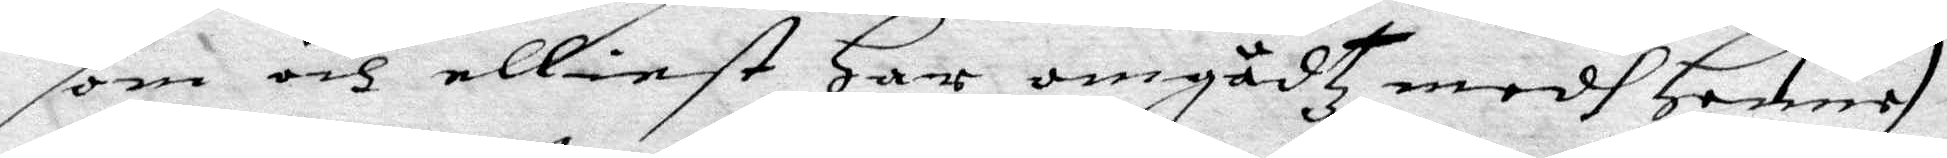som och elliest Har omgådtz medh Henne i
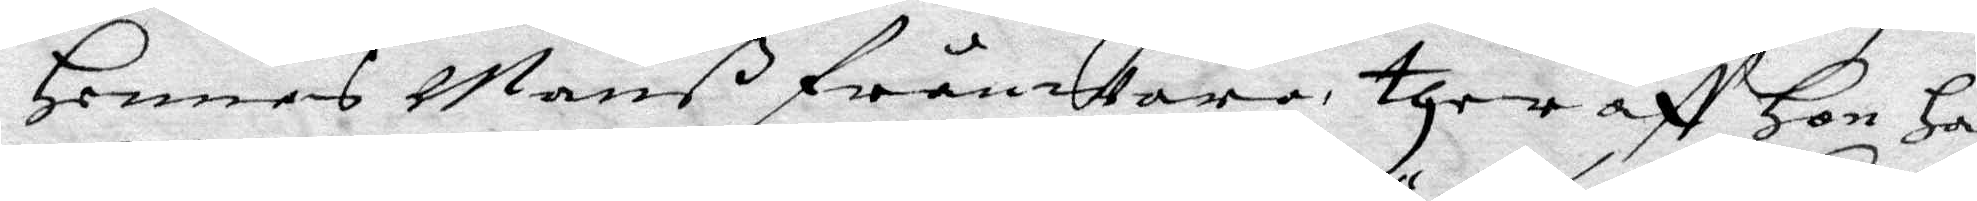Hennes Manß frånwaro, ther aff Hon Har
